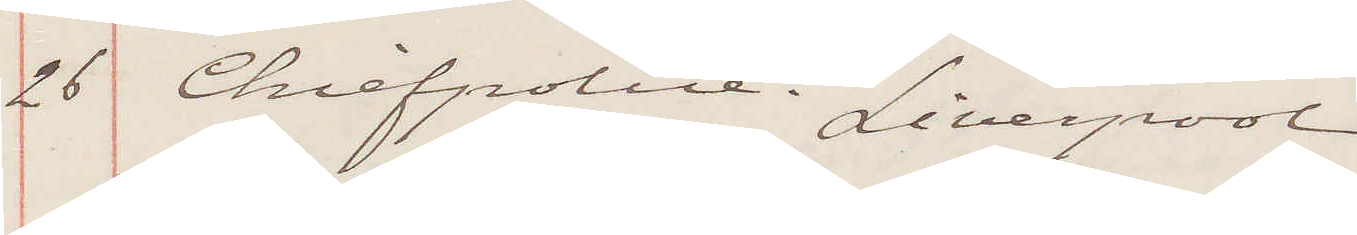26 Chiefpolice Liverpool
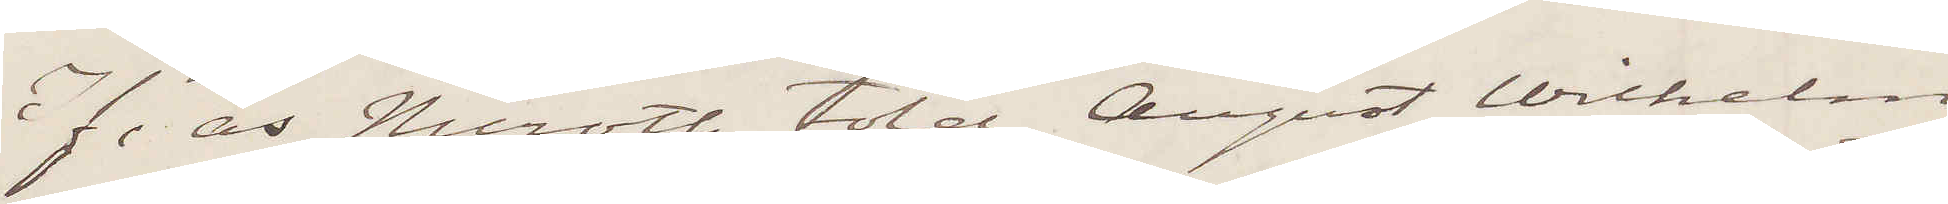If as Nicroth told, August Wilhelm
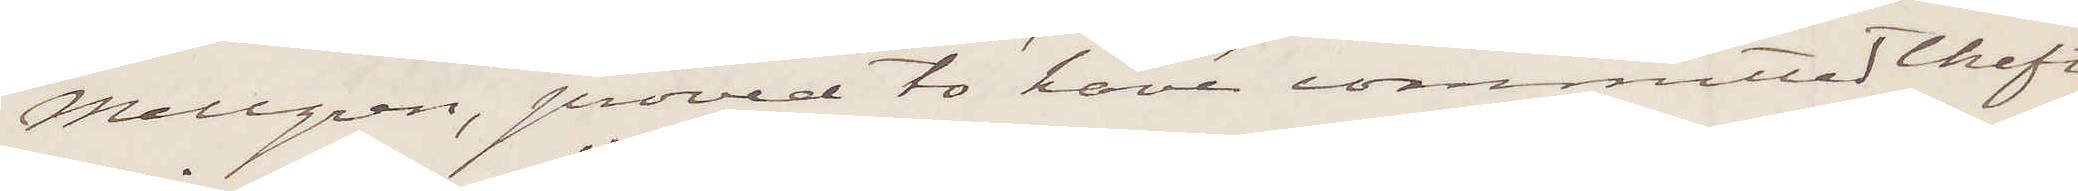Mellgren, proved to have committed Theft,
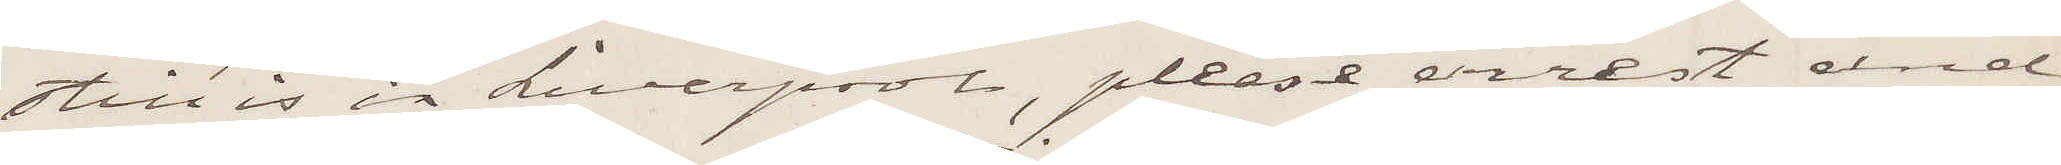still is in Liverpool, please arrest and
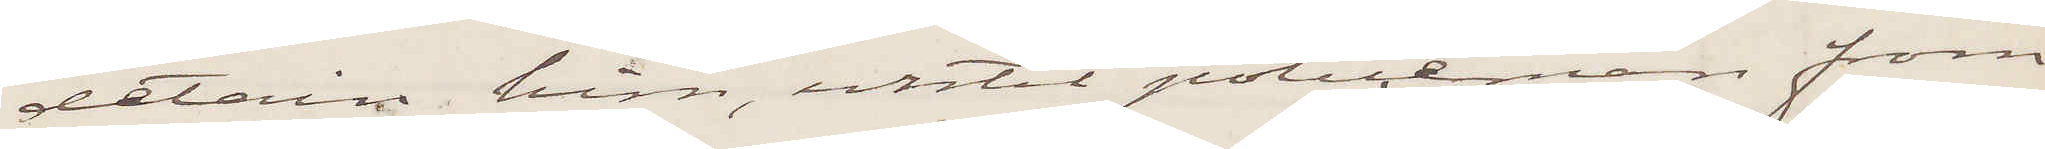detain him, until policeman from
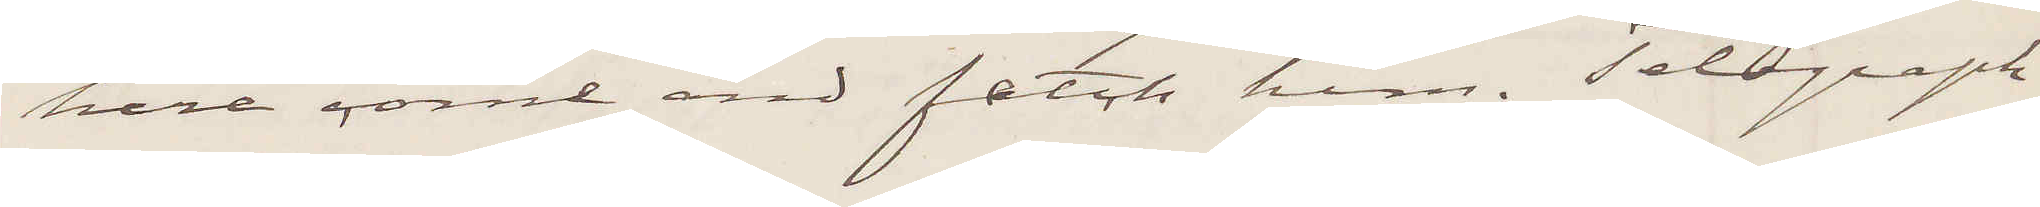here come and fetch him. Telegraph
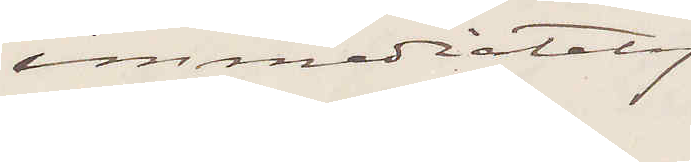immediately.
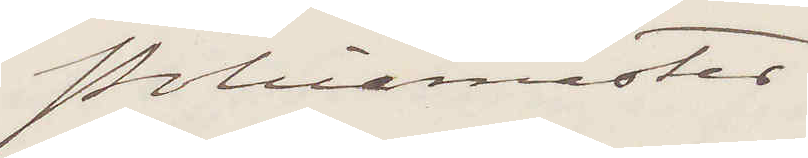Policemaster.
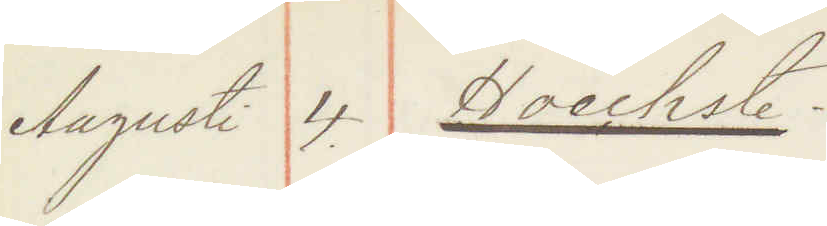Augusti 4. Hoechste.
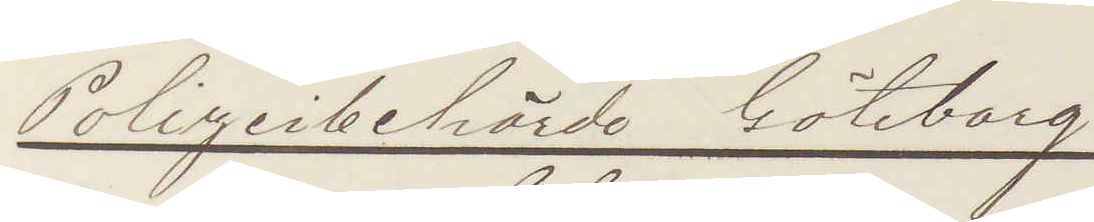Polizeibehörde Göteborg
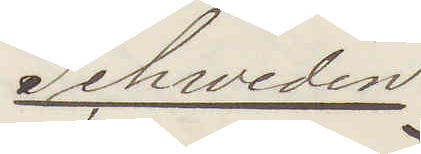Schweden
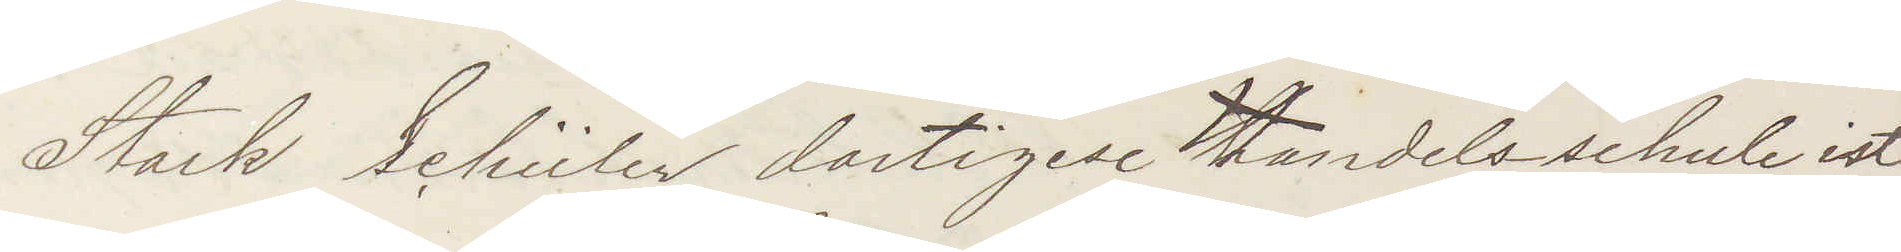Stark Schüler dortigese Handelsschule ist
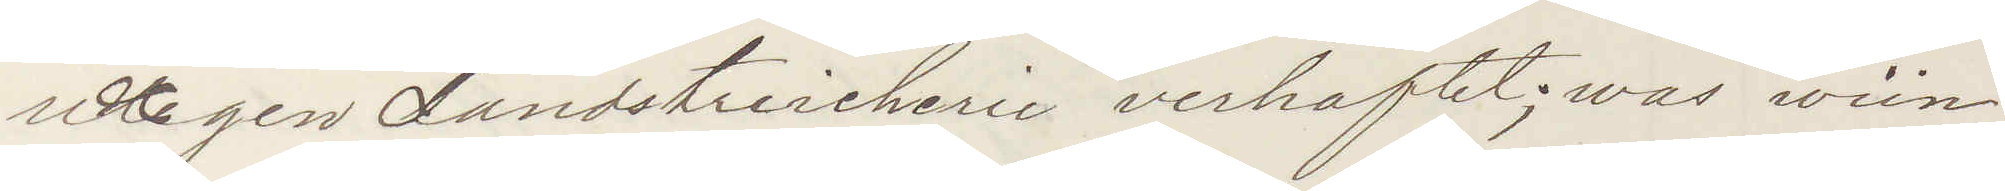richtigen Landstreicherie verhaftet; was wün¬
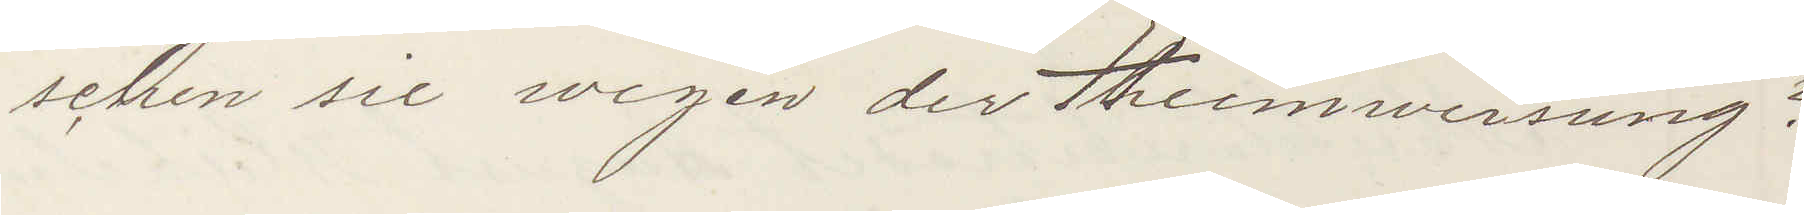schen sie wegen der Heimweisung?
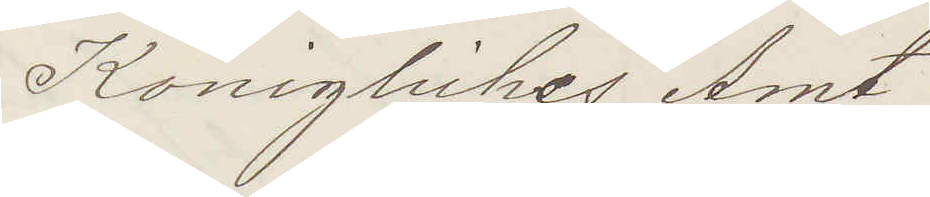Konigliches Amt
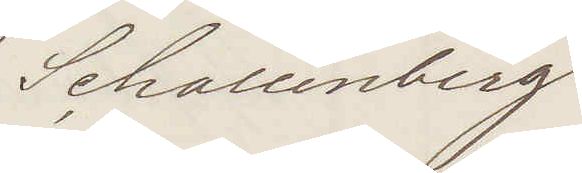Schallenberg
